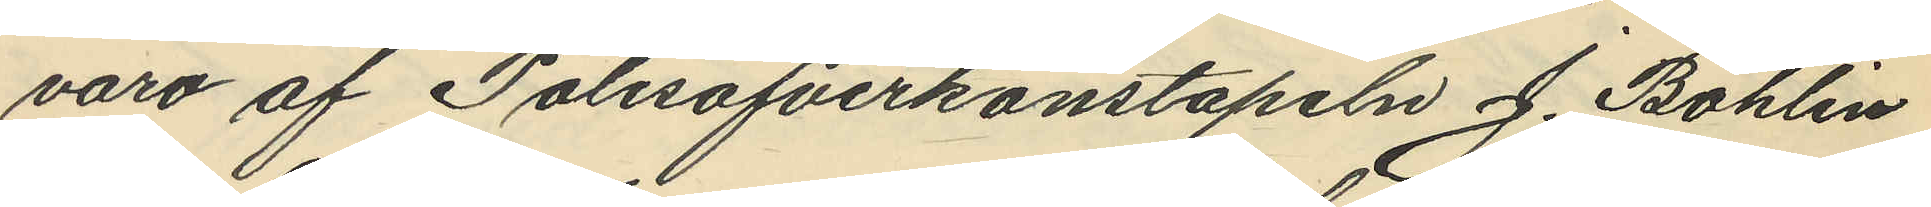varo af Polisöfverkonstapeln J. Bohlin
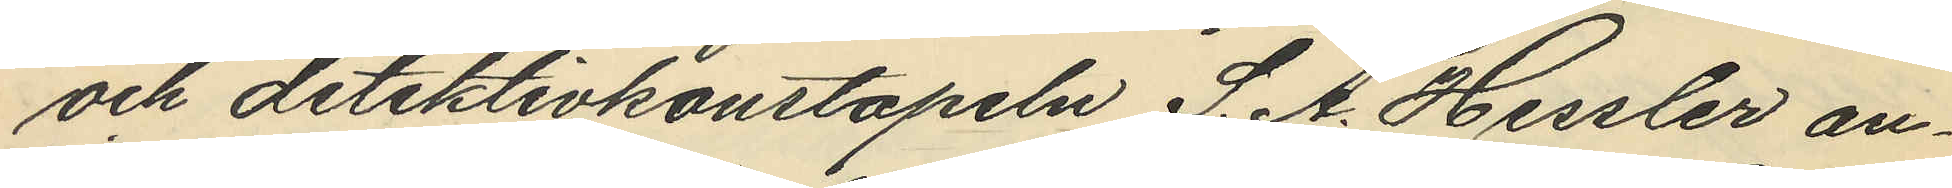och detektivkonstapeln S. A. Hessler an¬
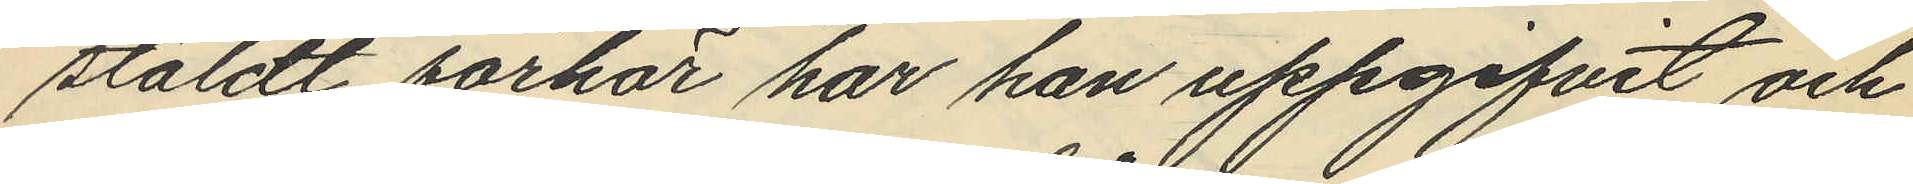stäldt förhör har han uppgifvit och
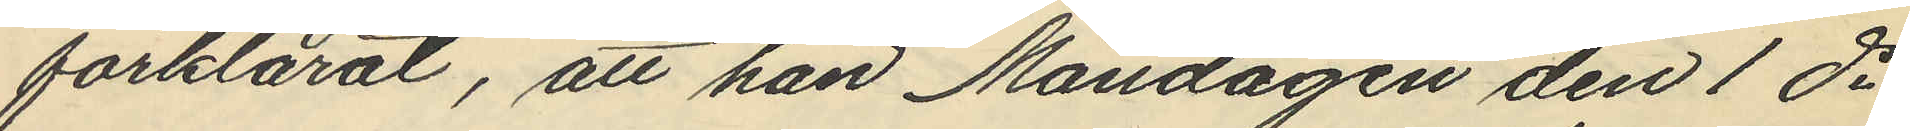förklarat, att han Måndagen den 1 ds
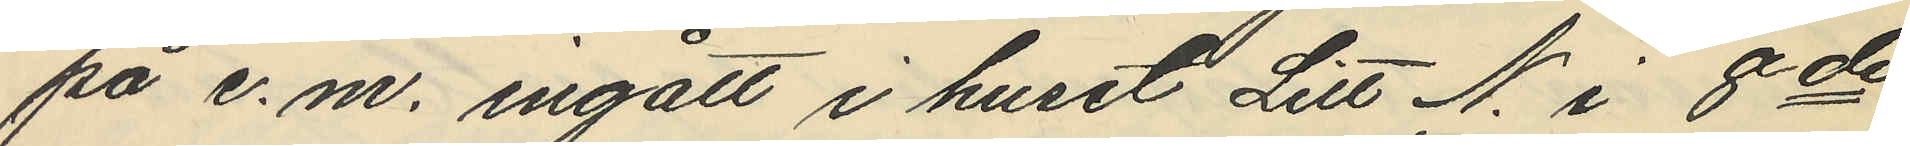på e.m. ingått i huset Litt N. i 8de
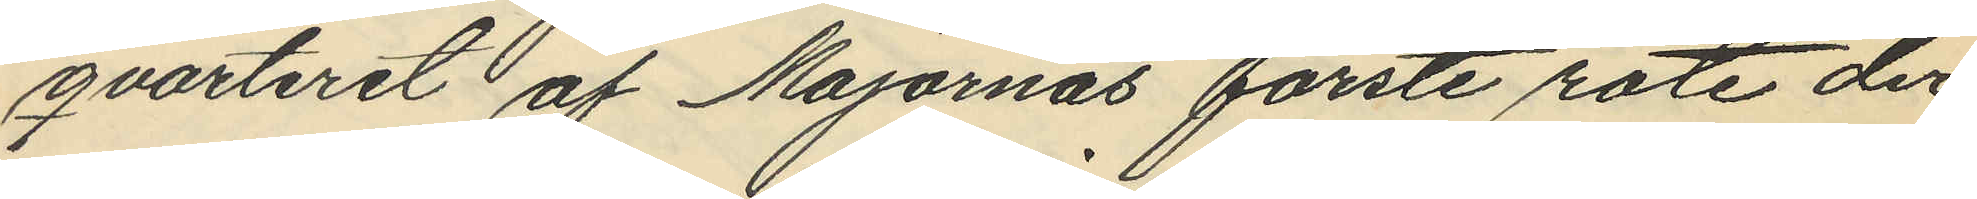qvarteret af Majornas förste rote der
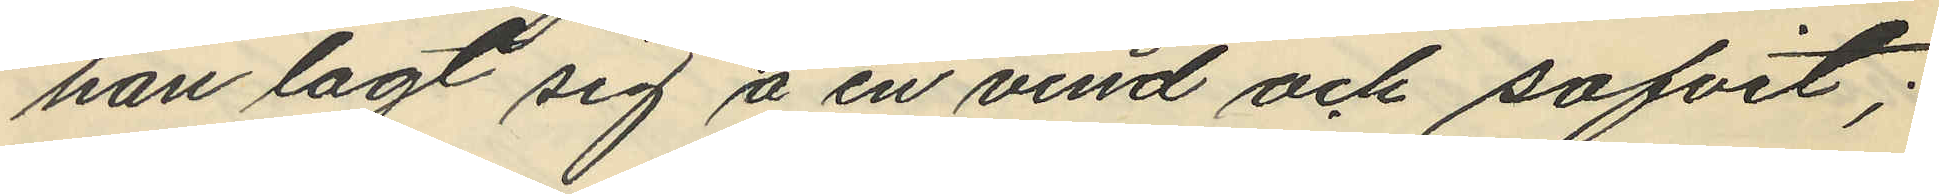han lagt sig å en vind och sofvit;
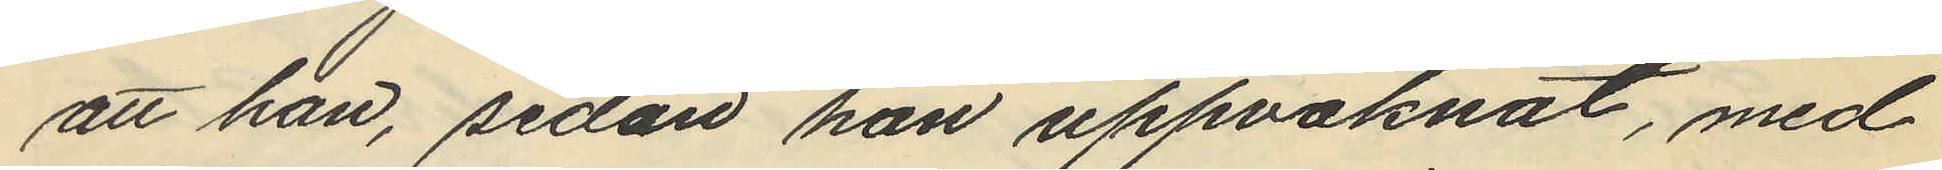att han, sedan han uppvaknat, med
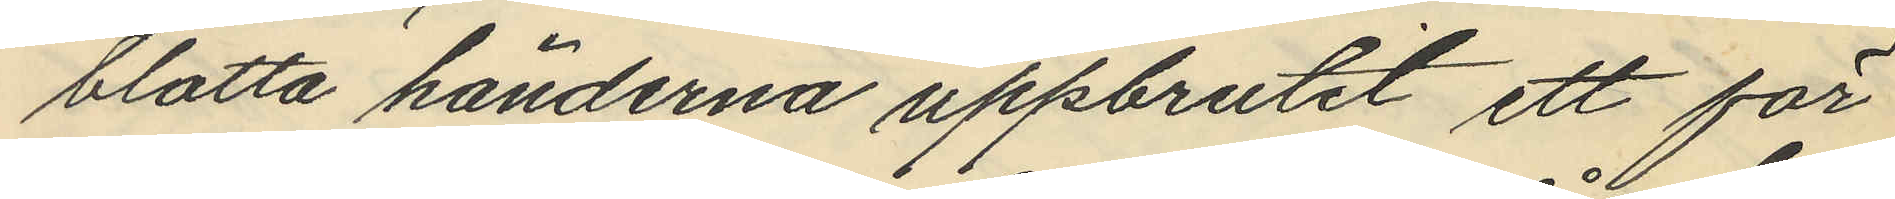blotta händerna uppbrutit ett för
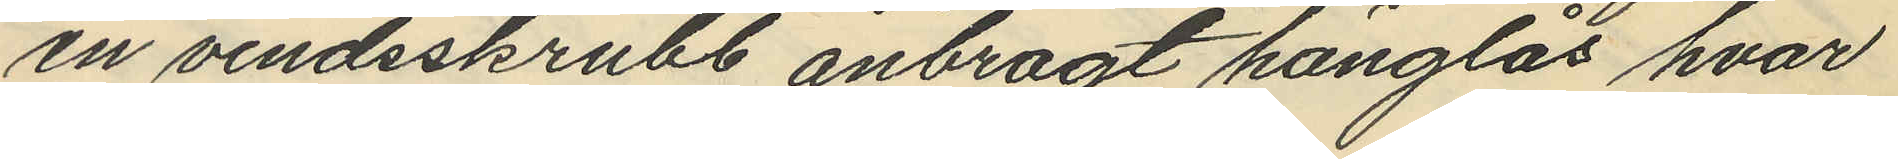en vindsskrubb anbragt hänglås hvar
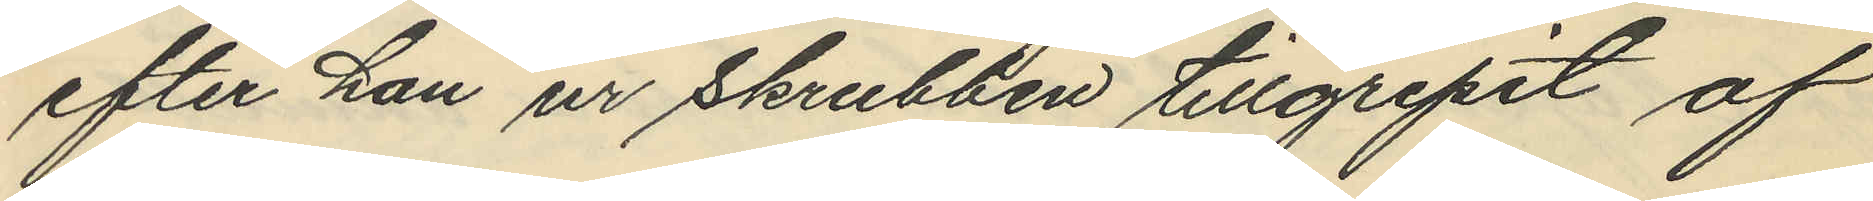efter han ur skrubben tillgripit af
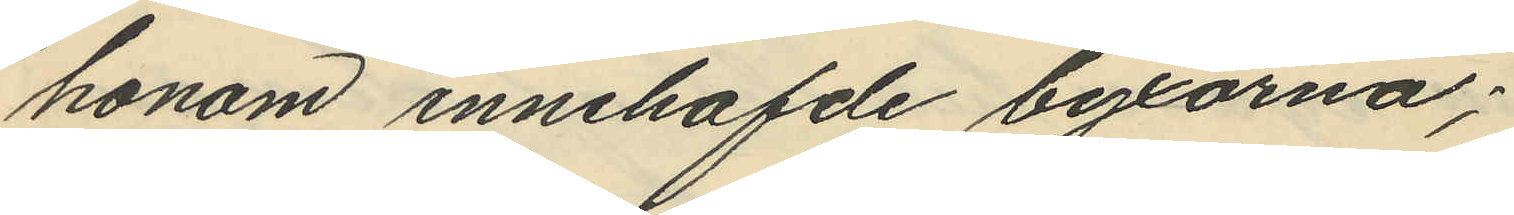honom innehafde byxorna;
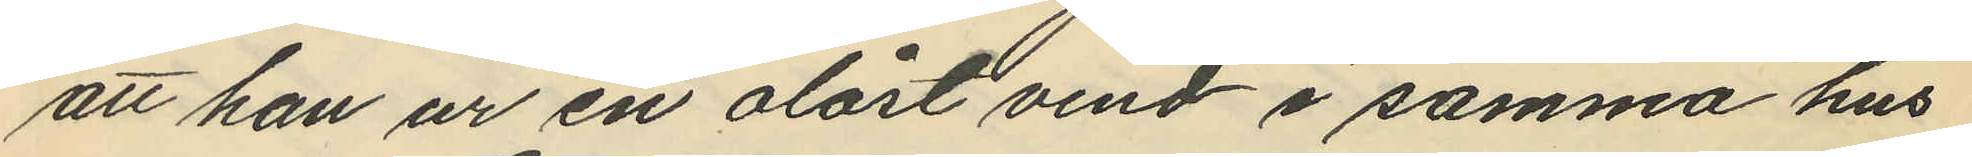att han ur en olåst vind i samma hus
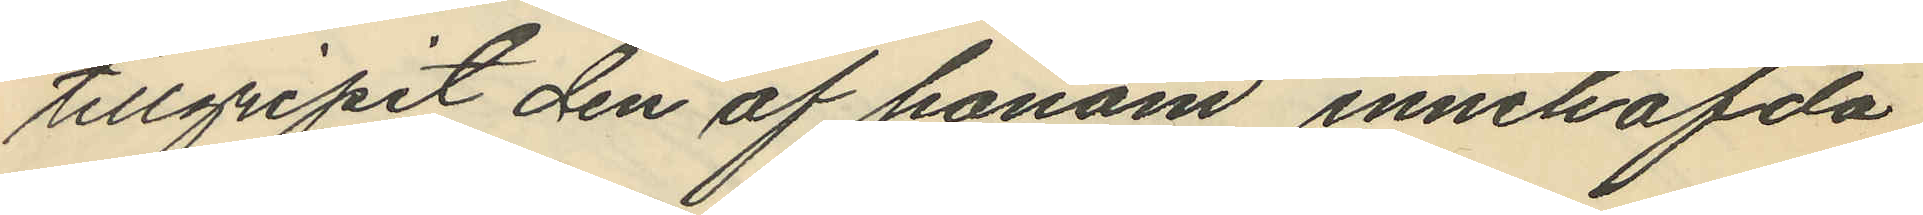tillgripit den af honom innehafda
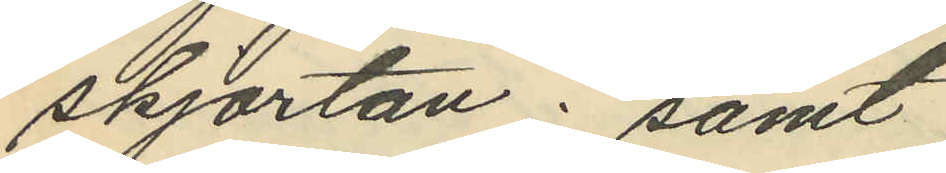skjortan; samt
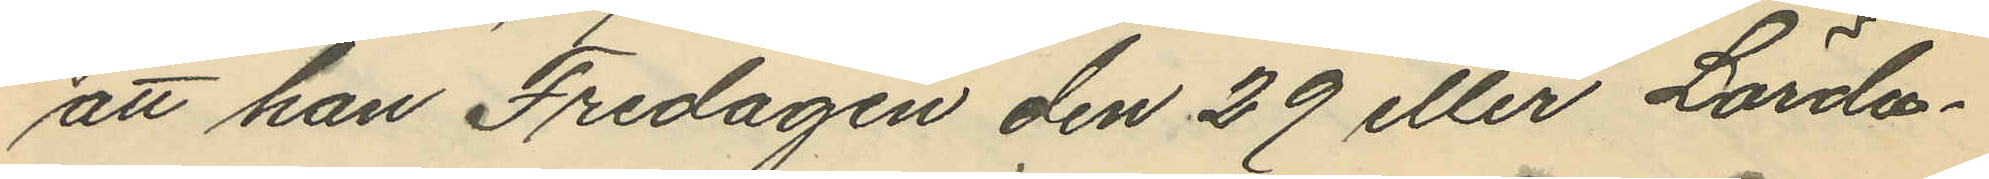att han Fredagen den 29 eller Lörda¬
